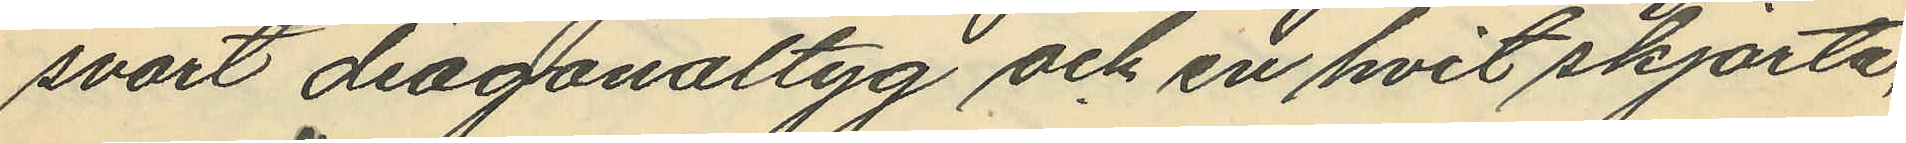svart diagonaltyg och en hvit skjorta,
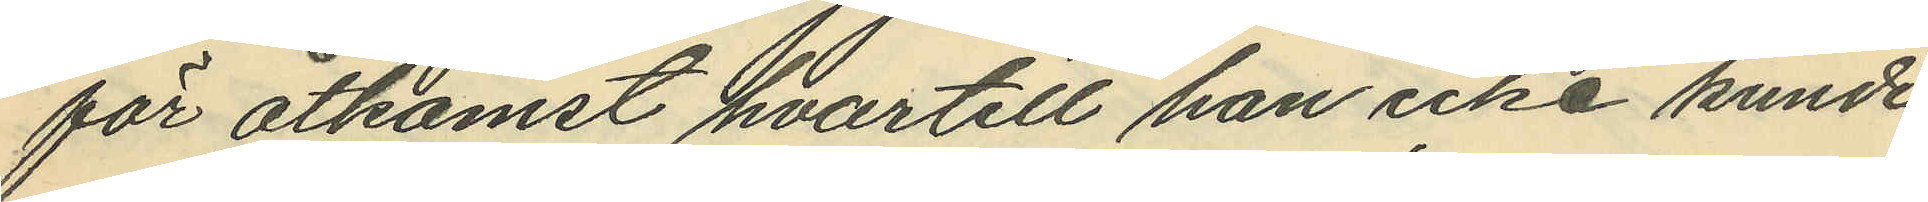för åtkomst hvartill han icke kunde
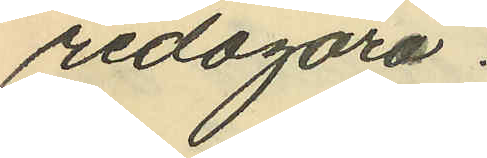redogöra.
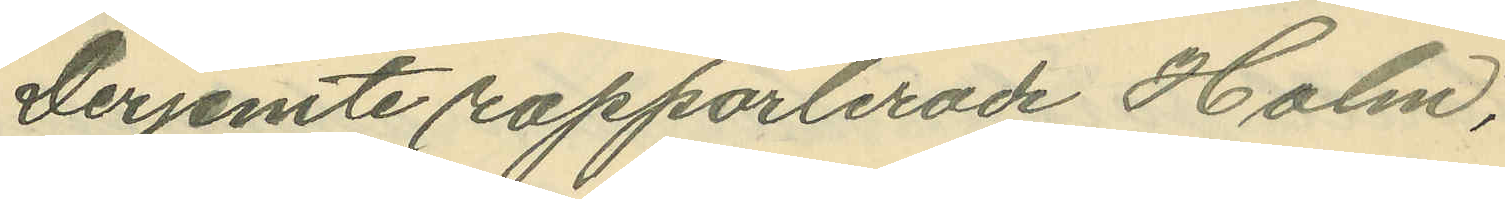Derjemte rapporlerade Holm,
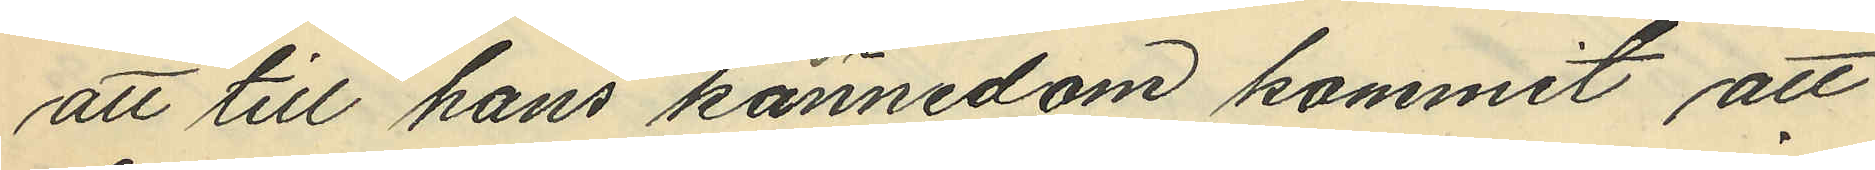att till hans kännedom kommit att
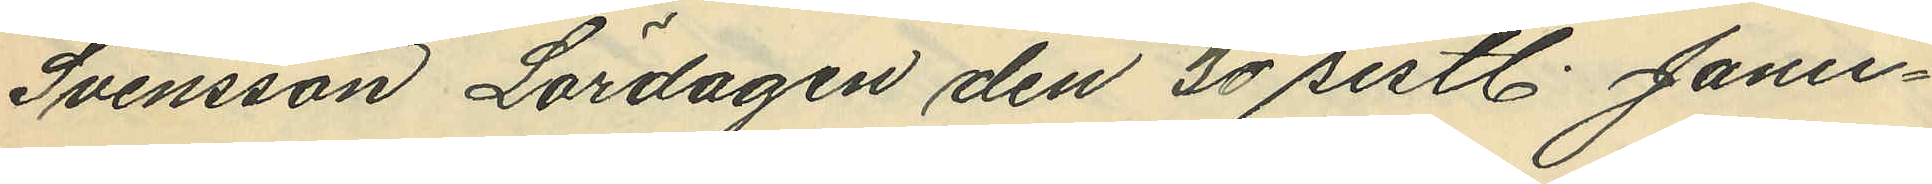Svensson Lördagen den 30 sistl. Janu¬
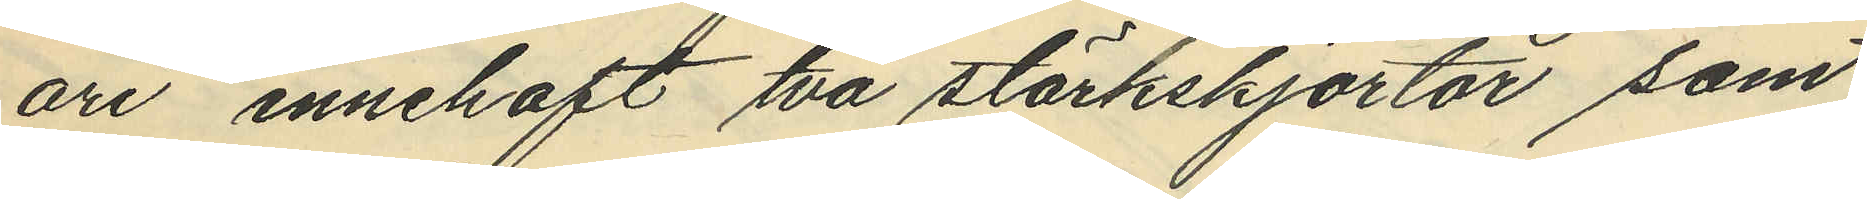ari innehaft två stärkskjortor, som
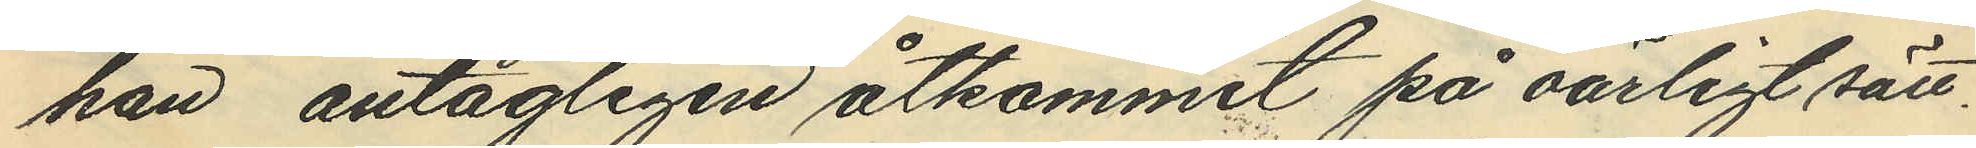han antagligen åtkommit på oärligt sätt.
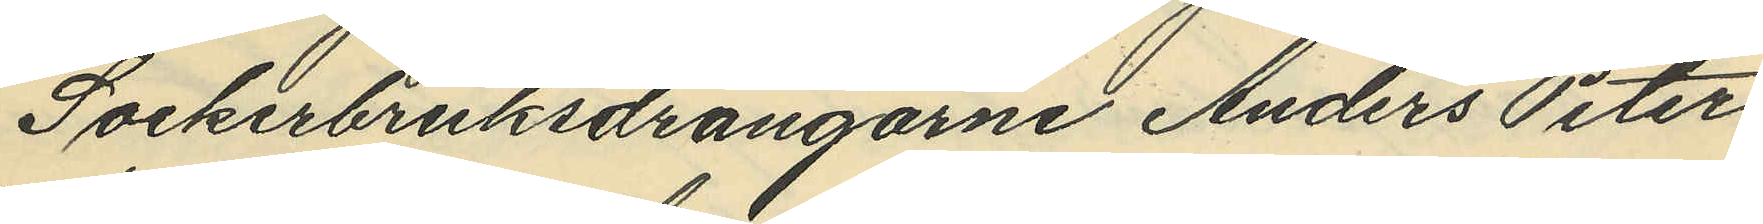Sockerbruksdrängarne Anders Peter
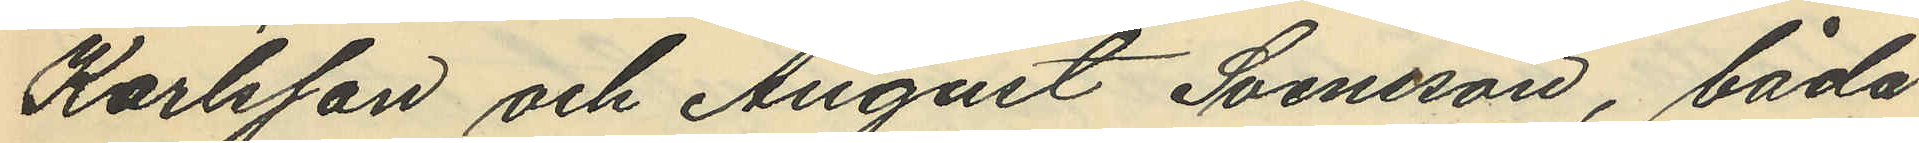Karlsson och August Svensson, båda
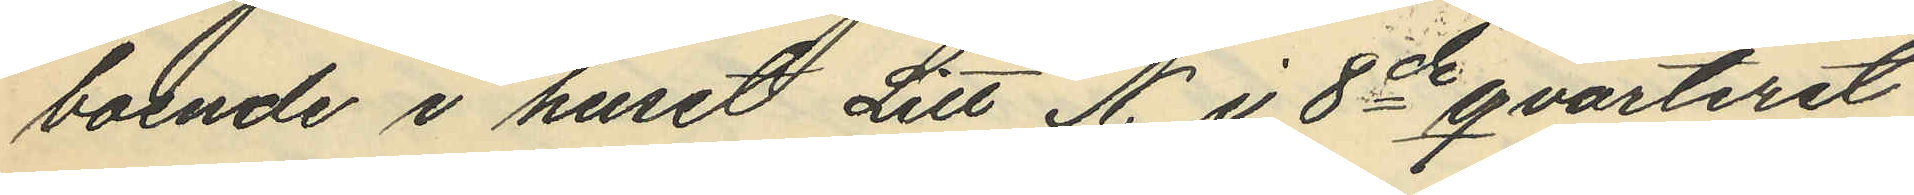boende i huset Litt N. i 8de qvarteret
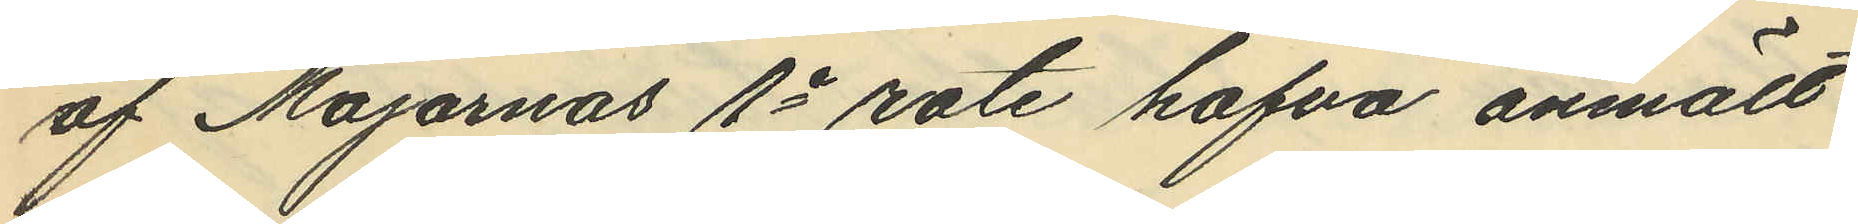af Majornas 1e rote hafva anmält
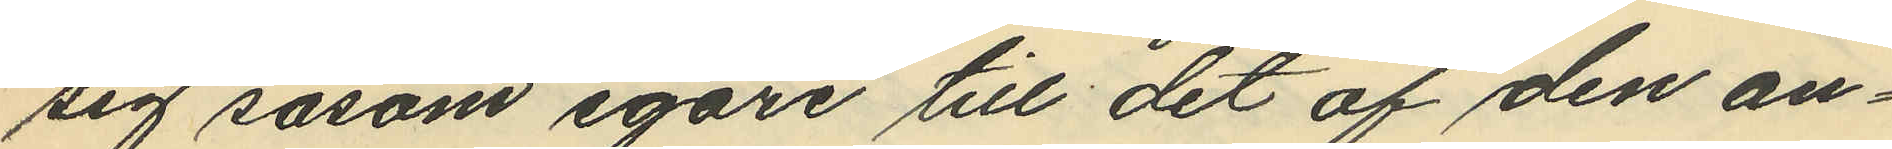sig såsom egare till det af den an¬
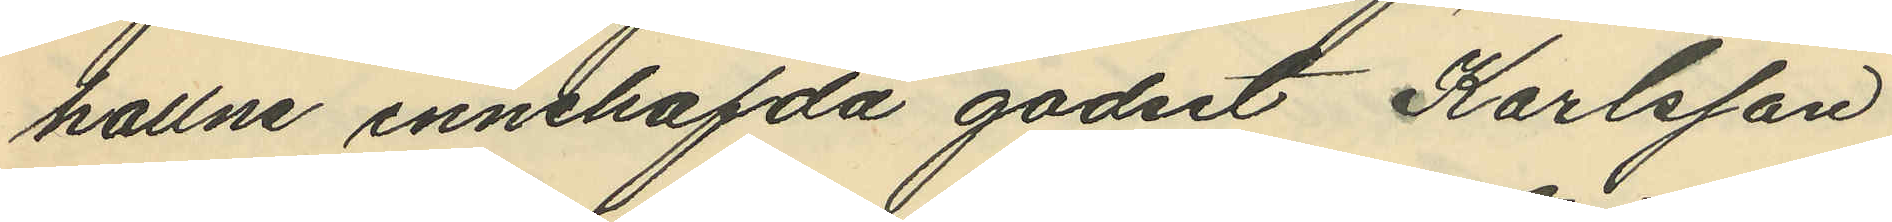hallne innehafvda godset Karlsson
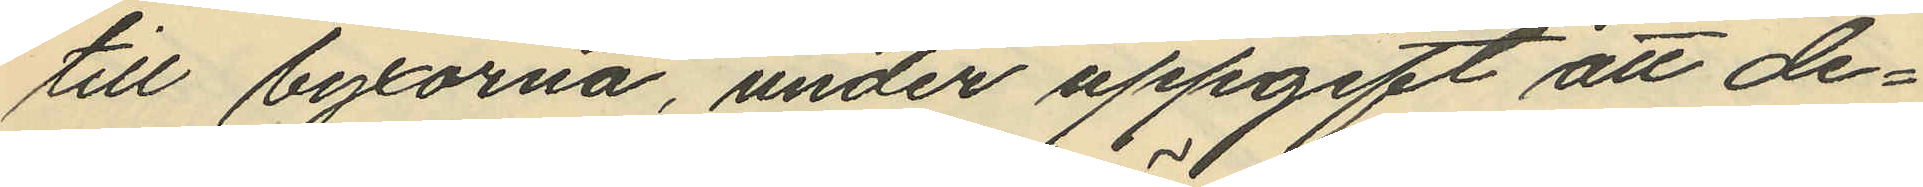till byxorna, under uppgift att de¬
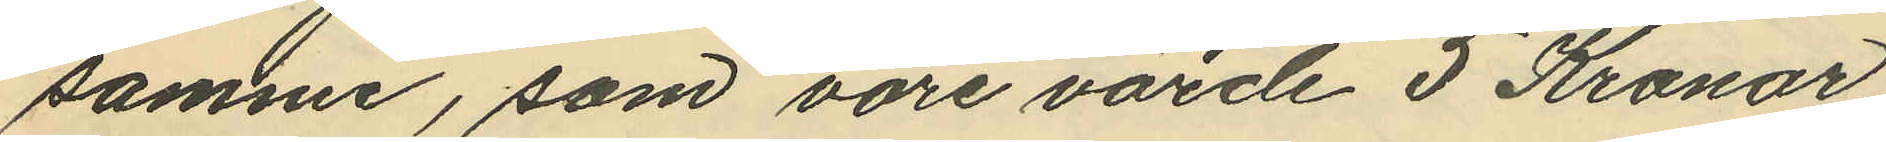samme, som vore värde 5 Kronor
